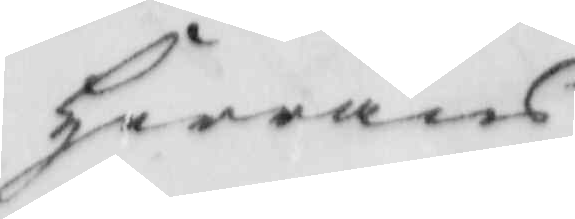Herrans
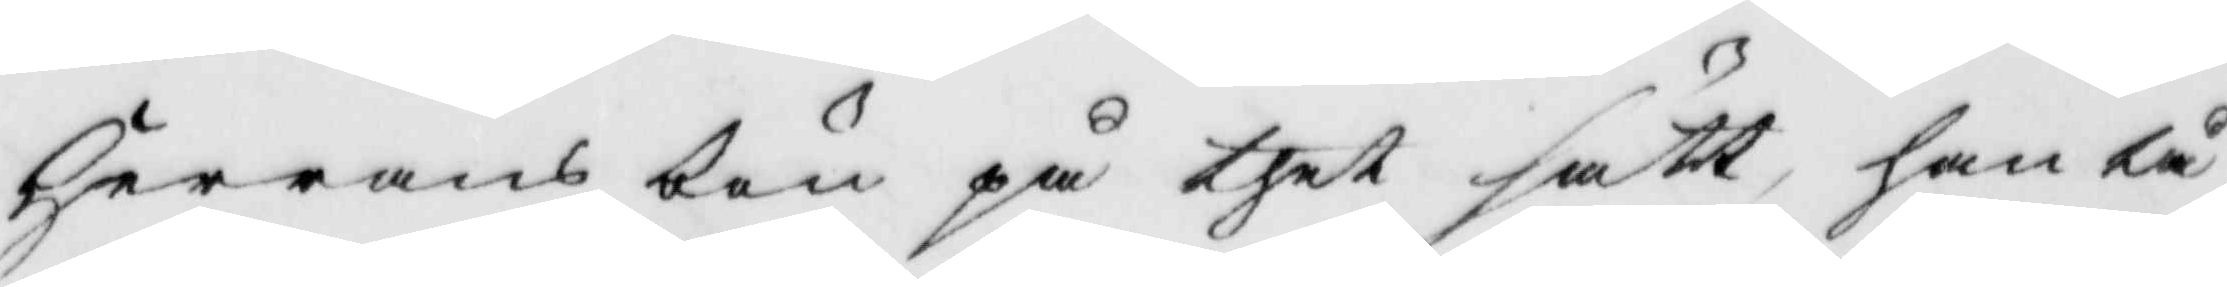Herrans bön på thet sätt han tå
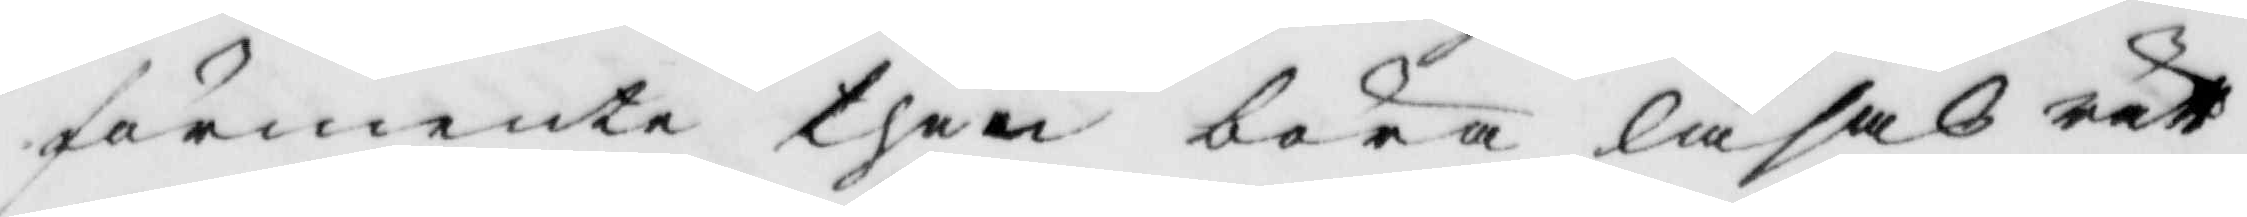förmente then böra läsasrätt
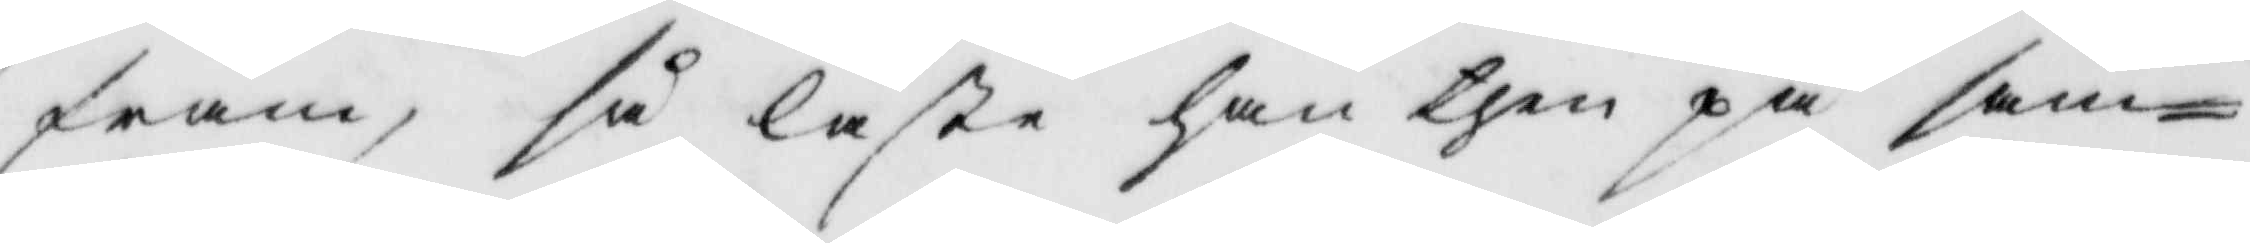fram, s läste han then på sam¬
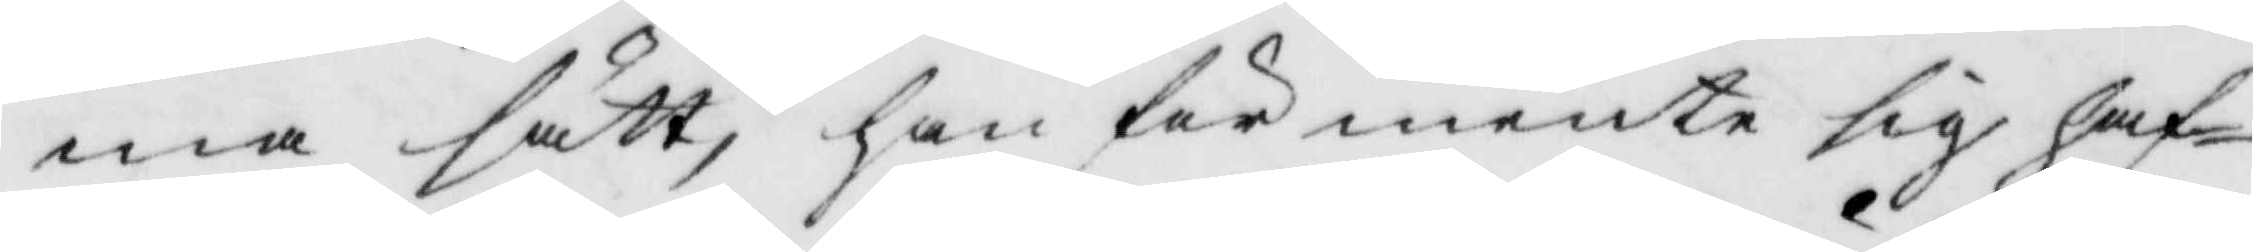ma sätt, han förmente sig haf¬
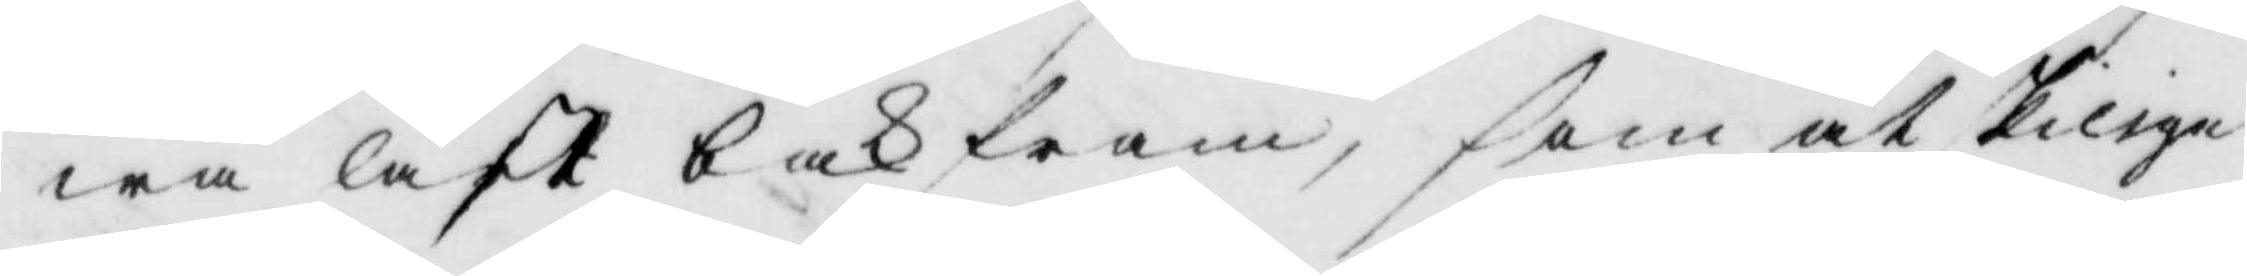wa läst bakfram, som åtskilliga
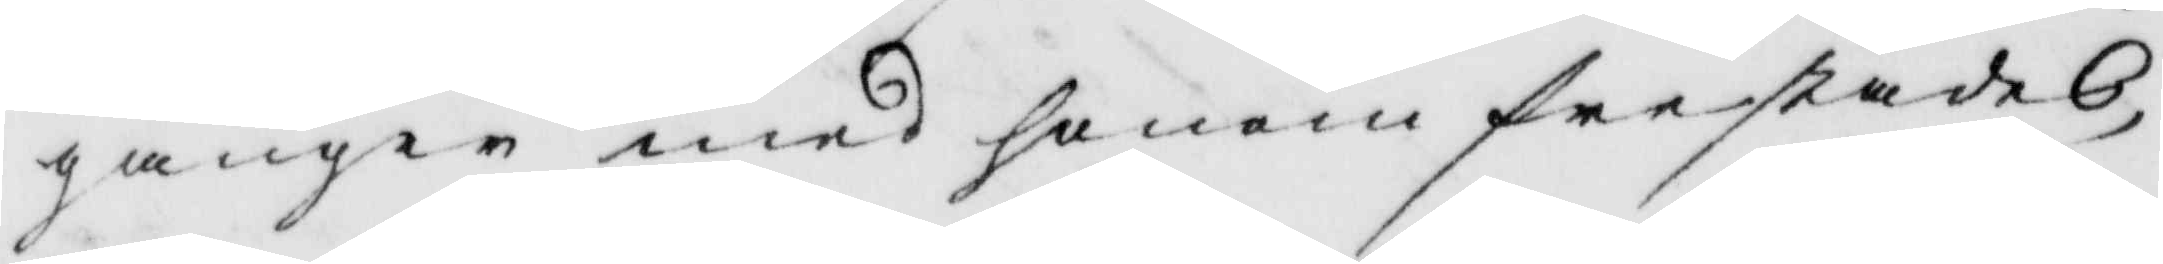gånger med honom frestades
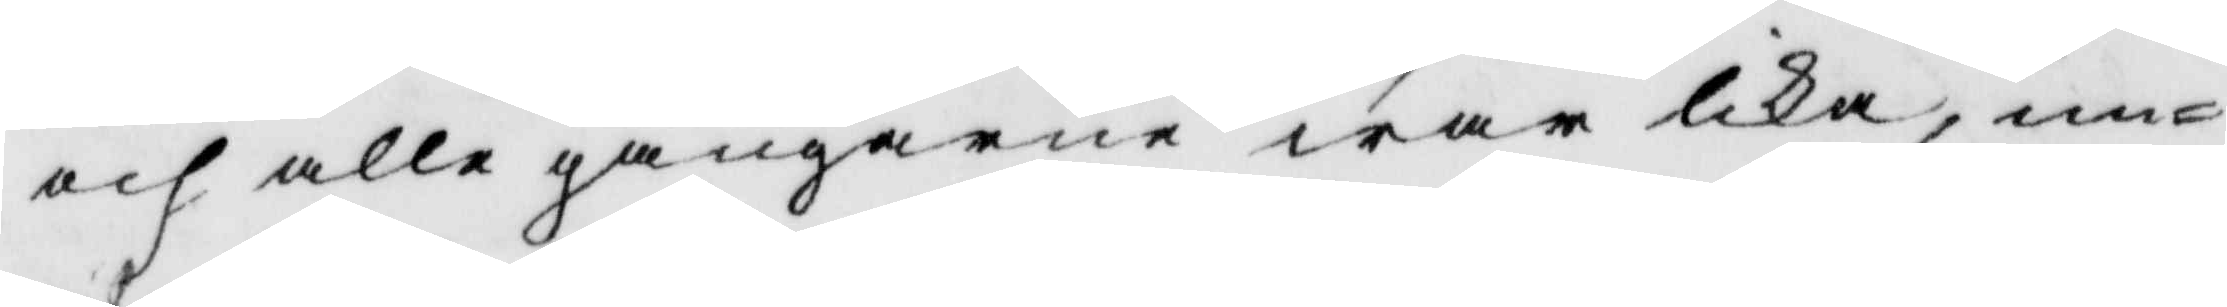och alle gångerne war lika, un¬
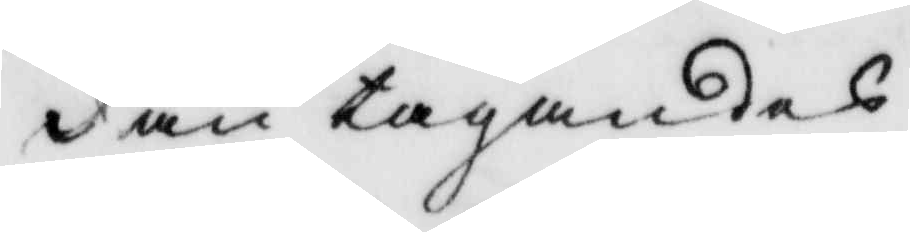dan tagandes
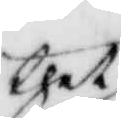thet
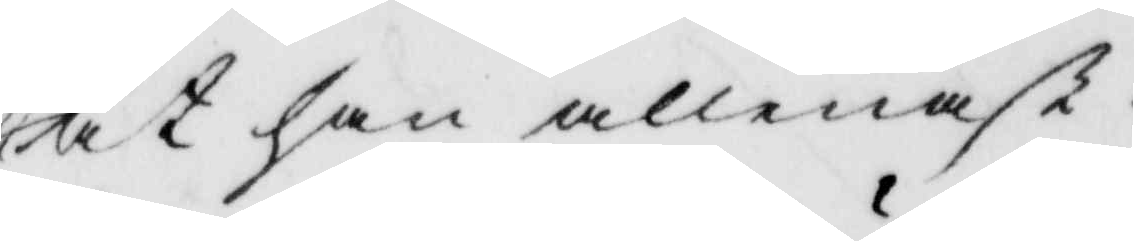at han allenast
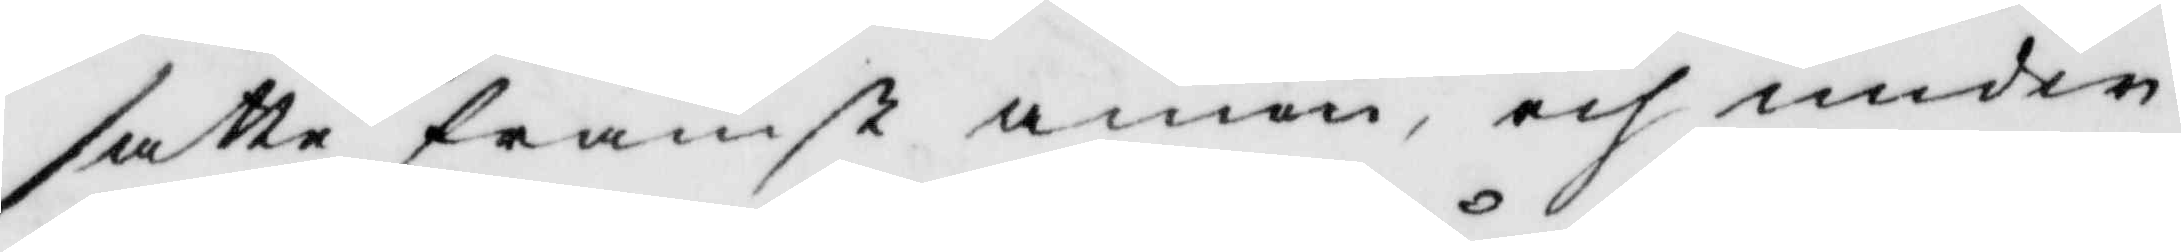satte främst amenoch under
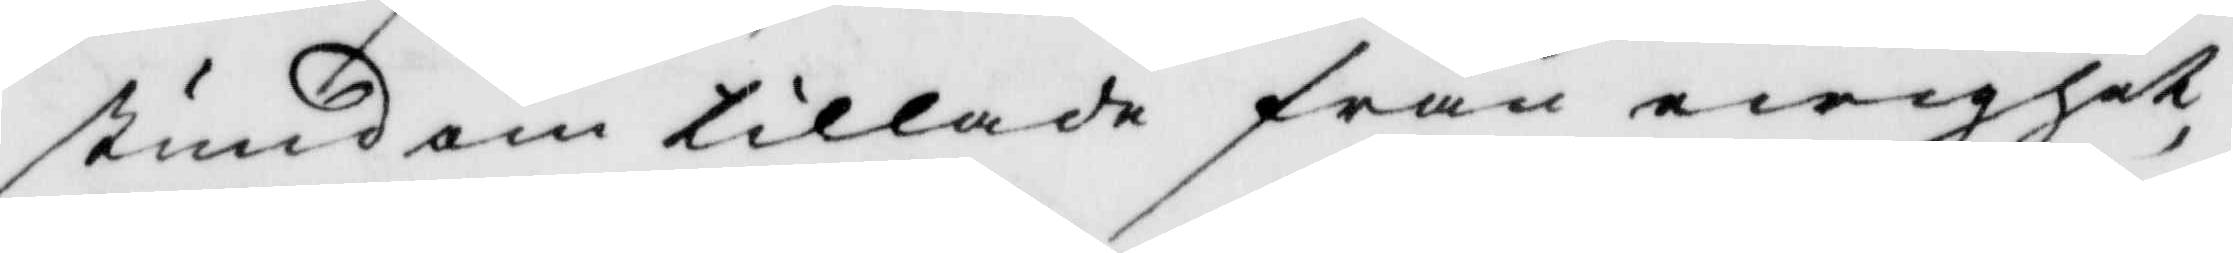stundom tillade från ewighet,
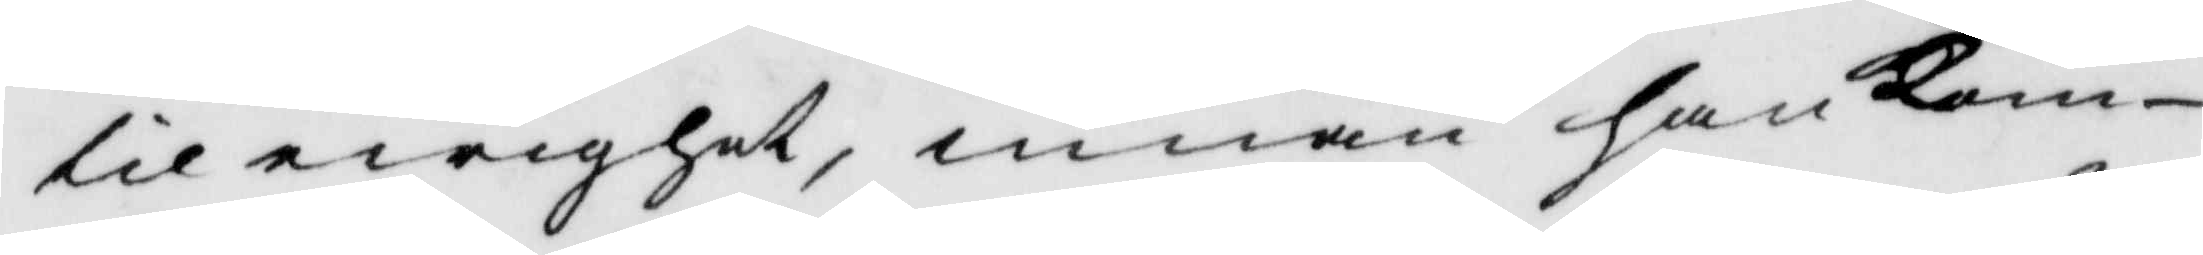til ewighet, innan han kom
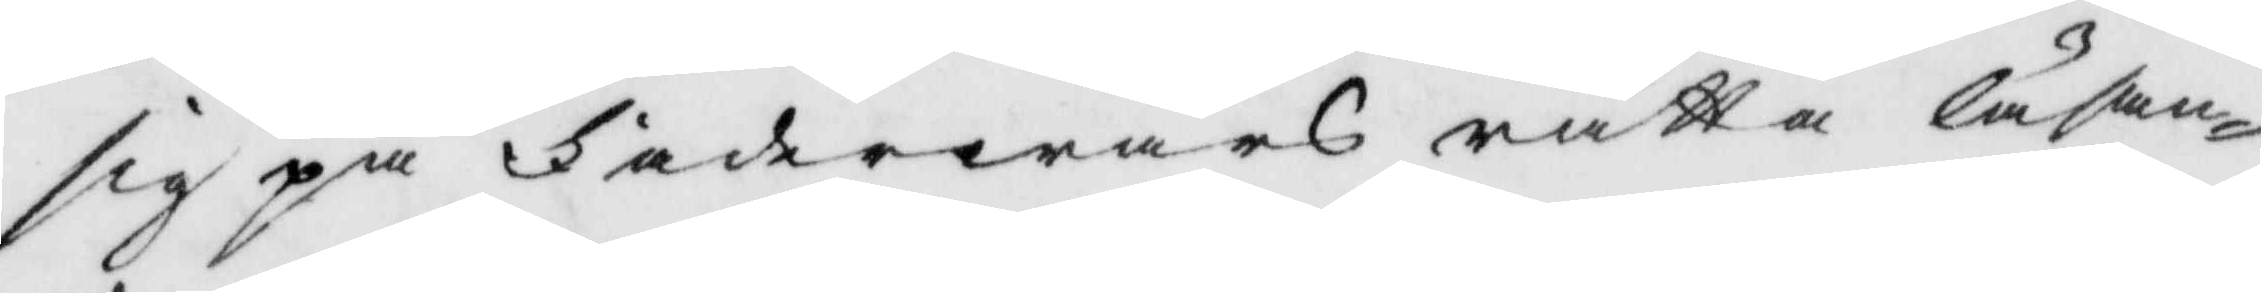sig på Faderwårs rätta låfan¬
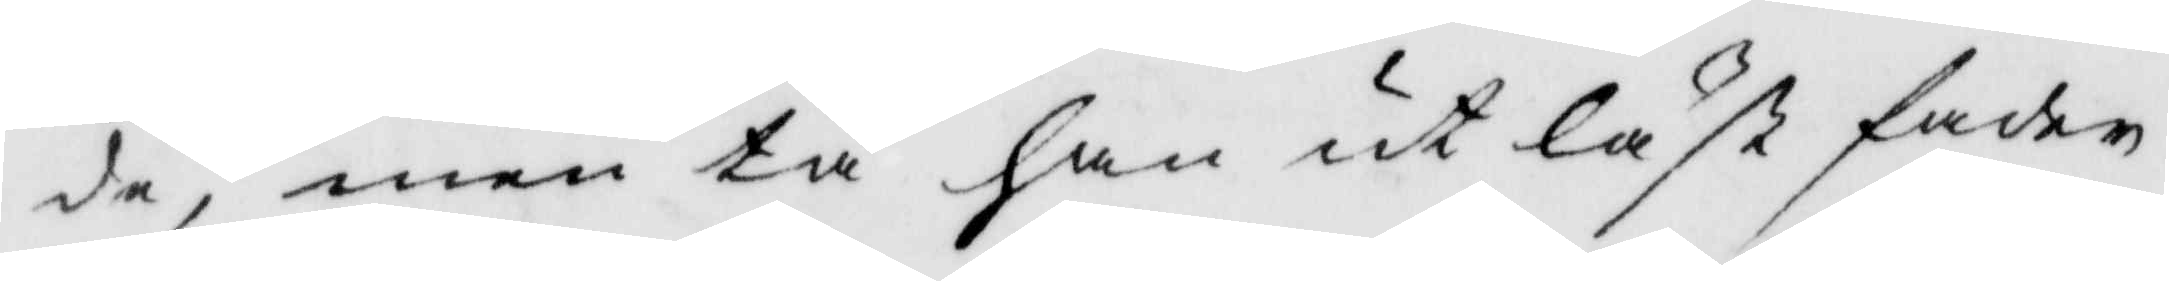de, men tå han utläst fader
